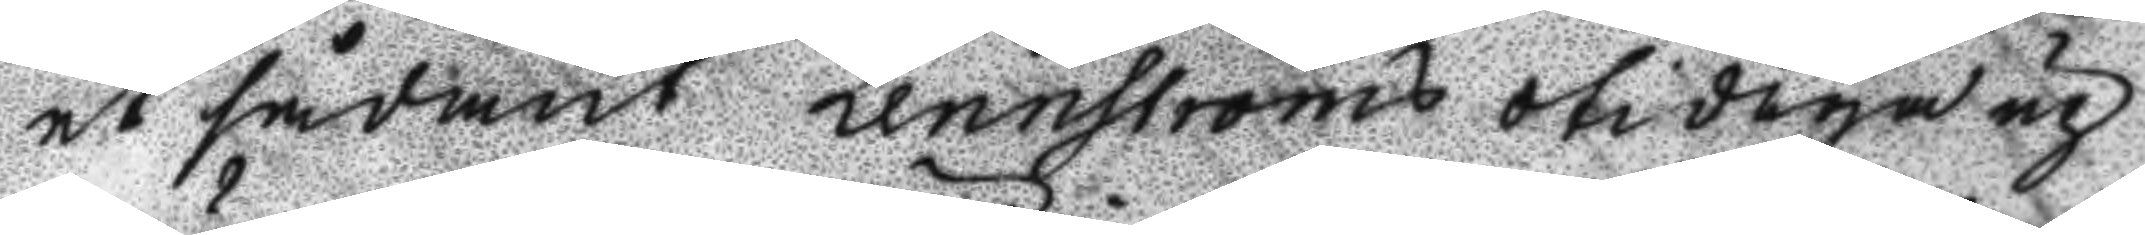et sådant Lennström otidiga up
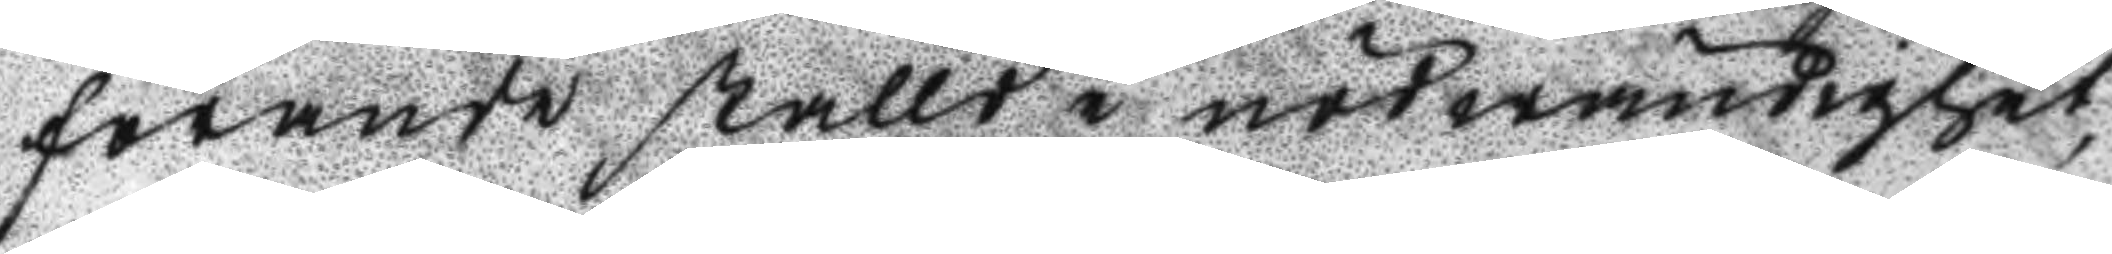förande ställd i nödwändighet,
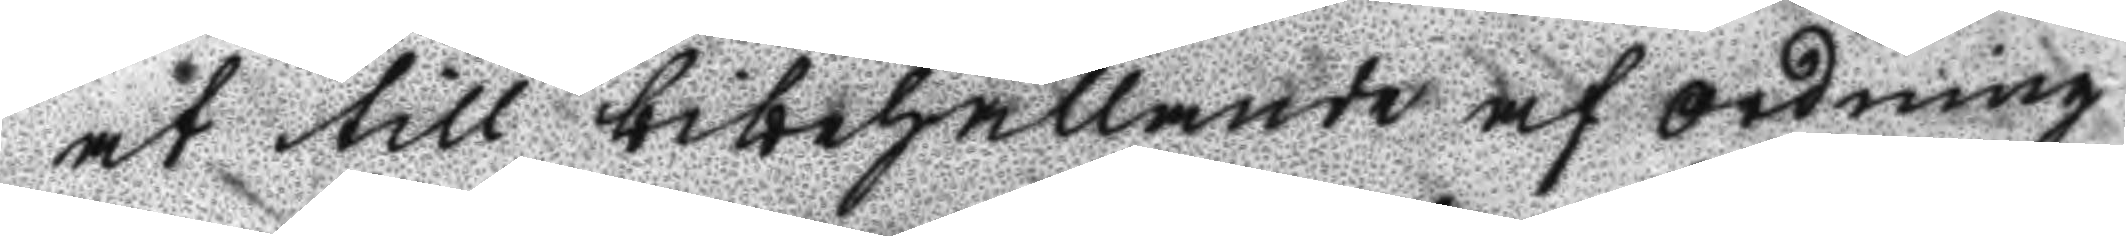at till bibehållande af Ordning
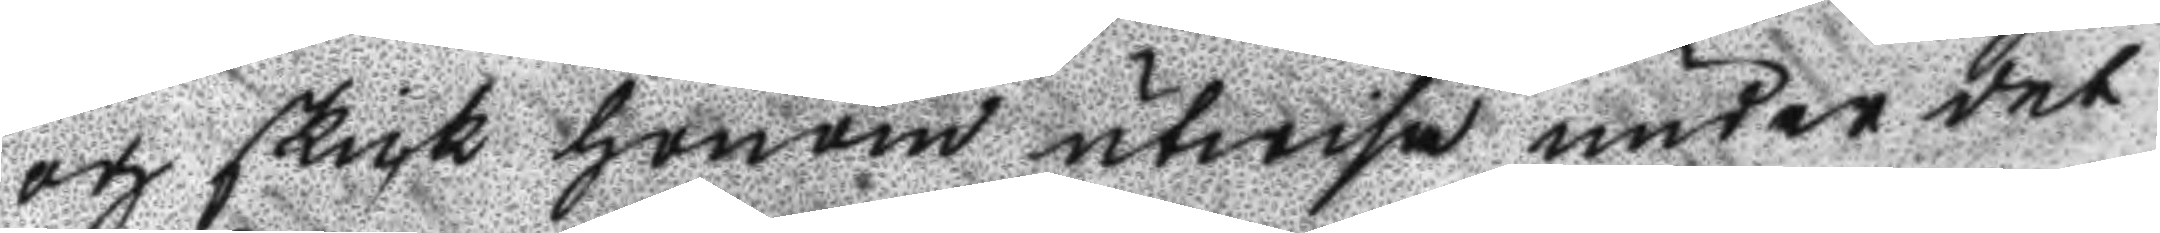och skick honom utwisa under det
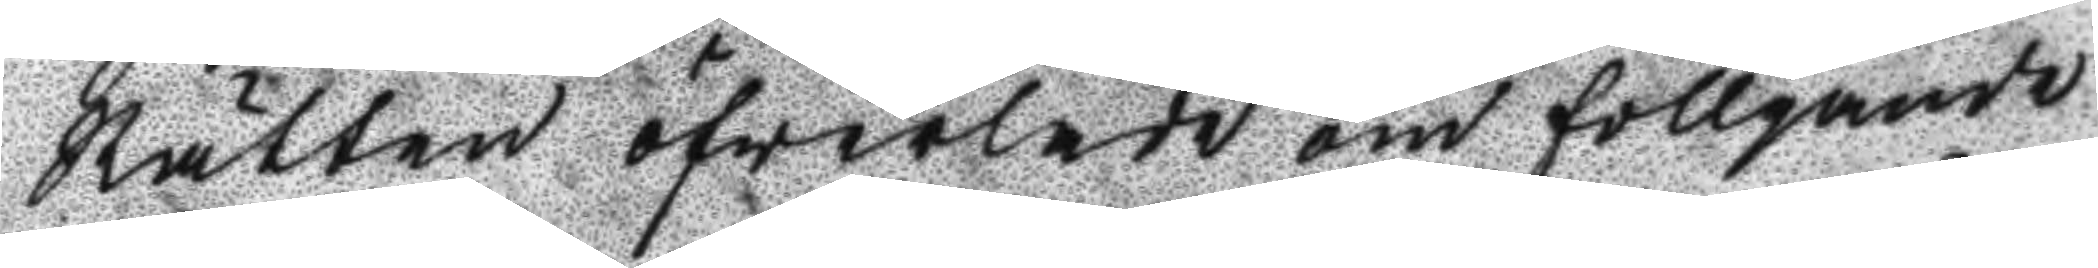Rätten öfwerlade om fölljande
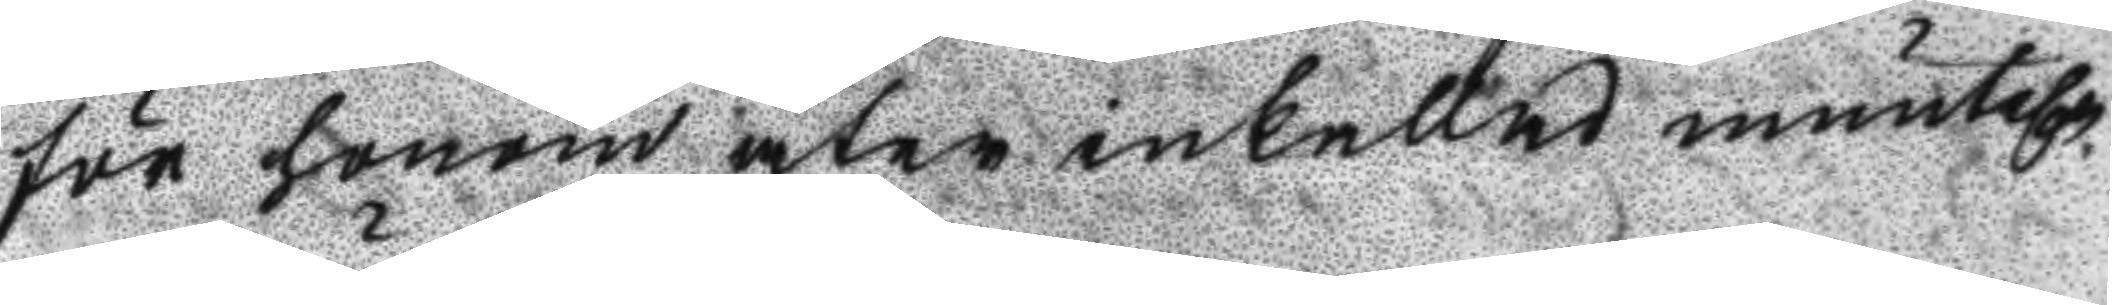för honom åter inkallade muntel.n
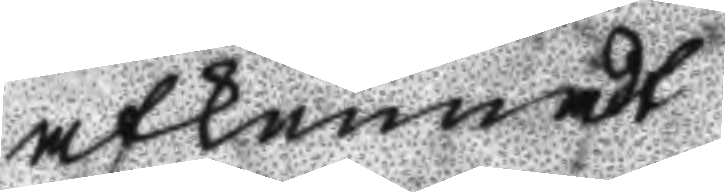afkunnadt
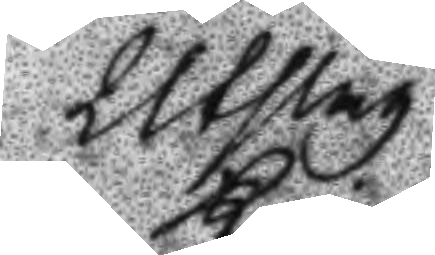Utslag
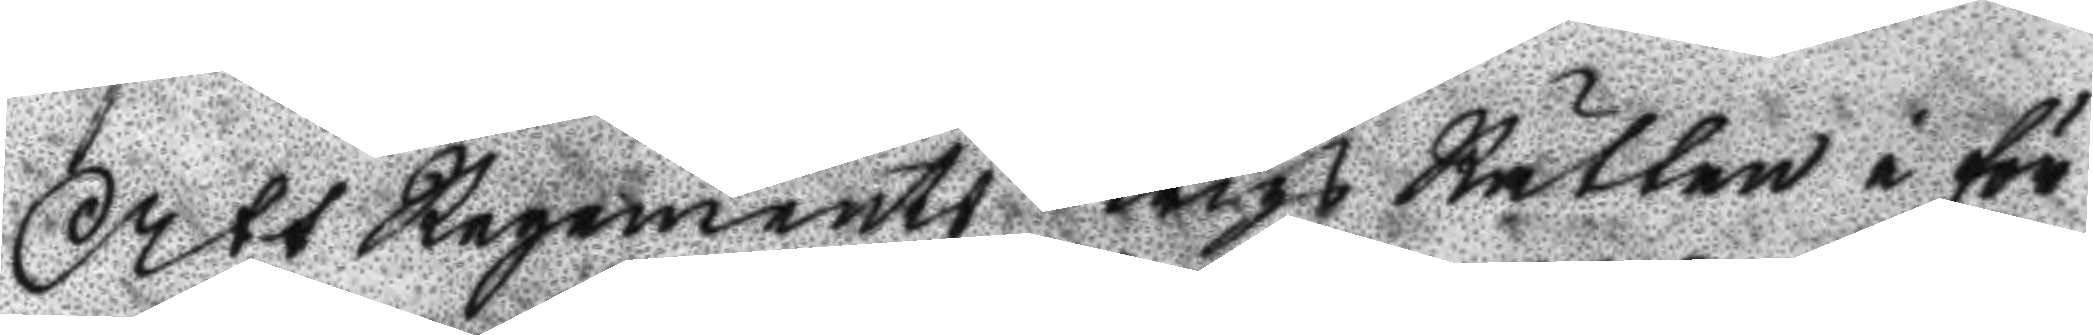Att Regements Krigs Rätten i för
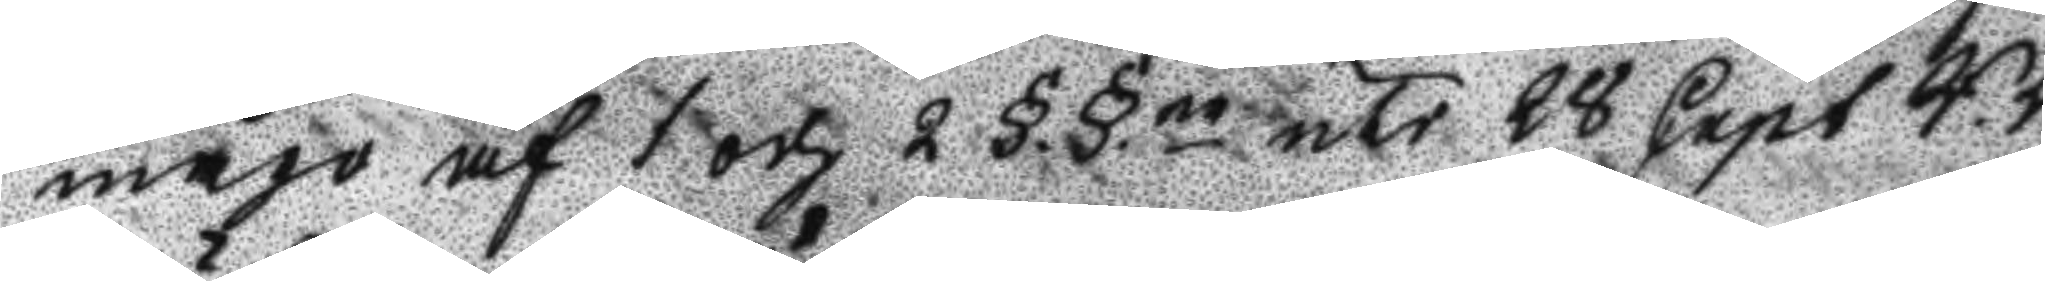mågo af 1 och 2 §§ne uti 28 Capt R.Bl
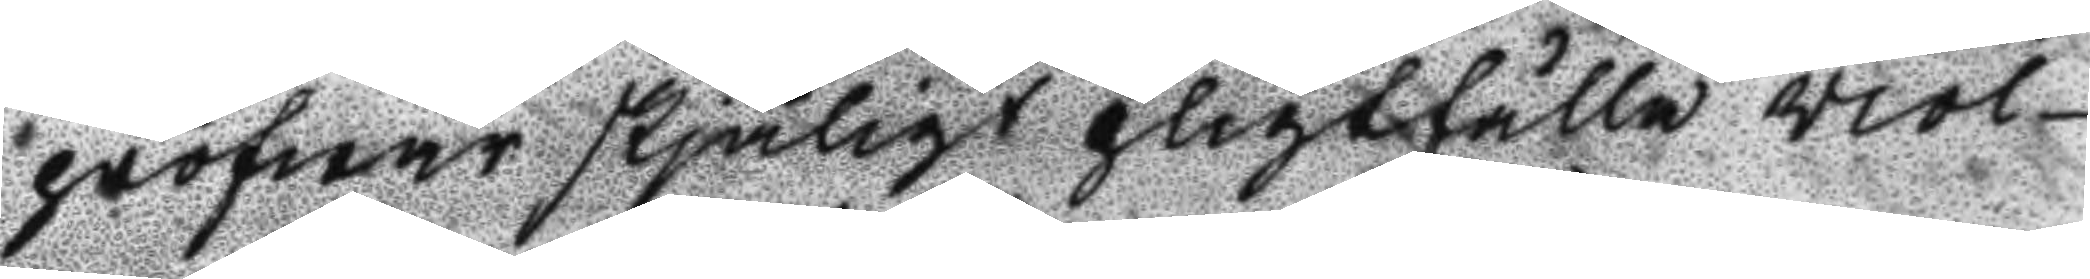pröfwar skjäligt pligtfälla viol¬
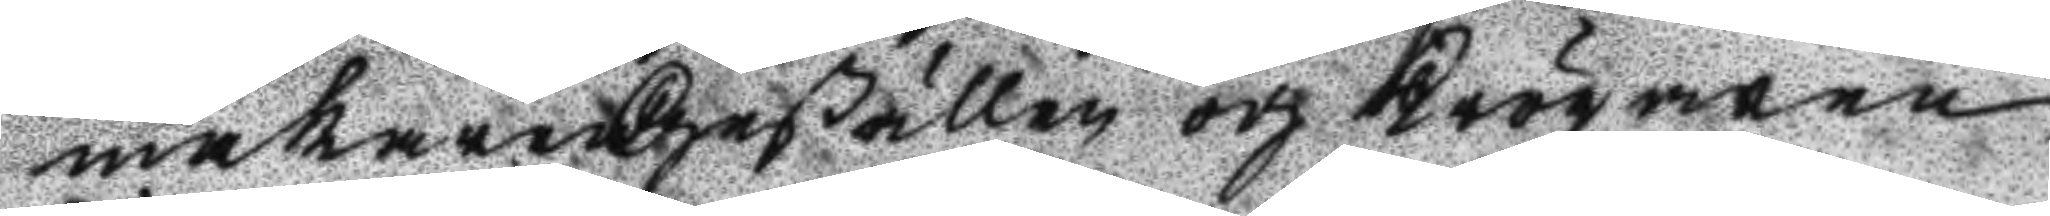makare Geßällen och Krögaren
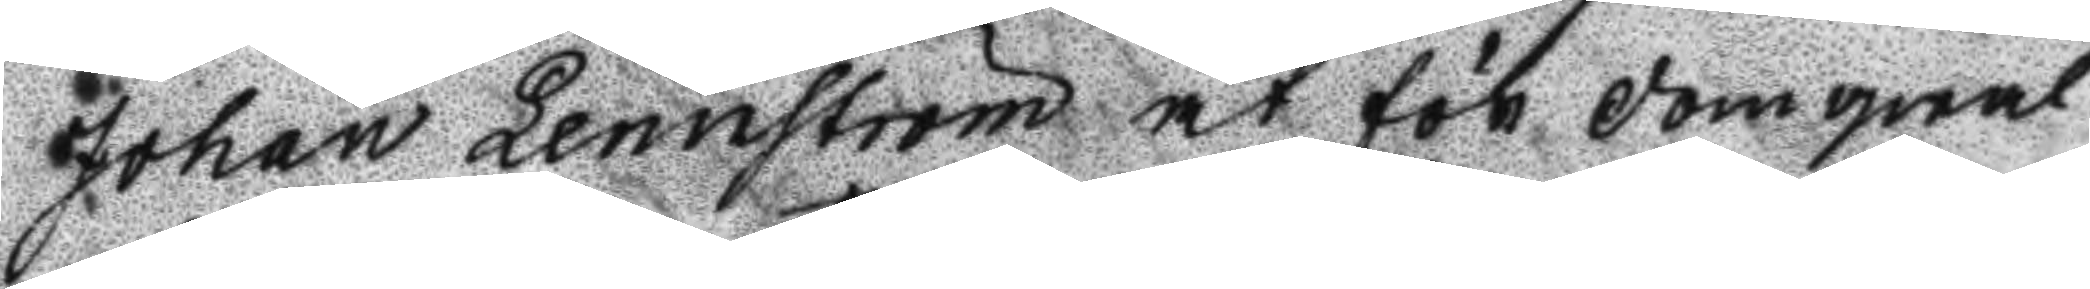Johan Lennström at för domqwal
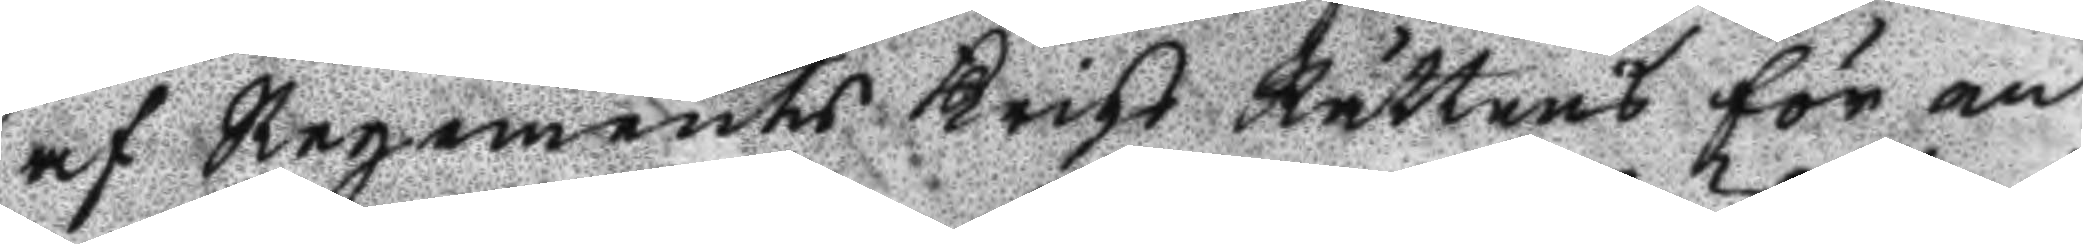af Regements Krigs Rättens för en
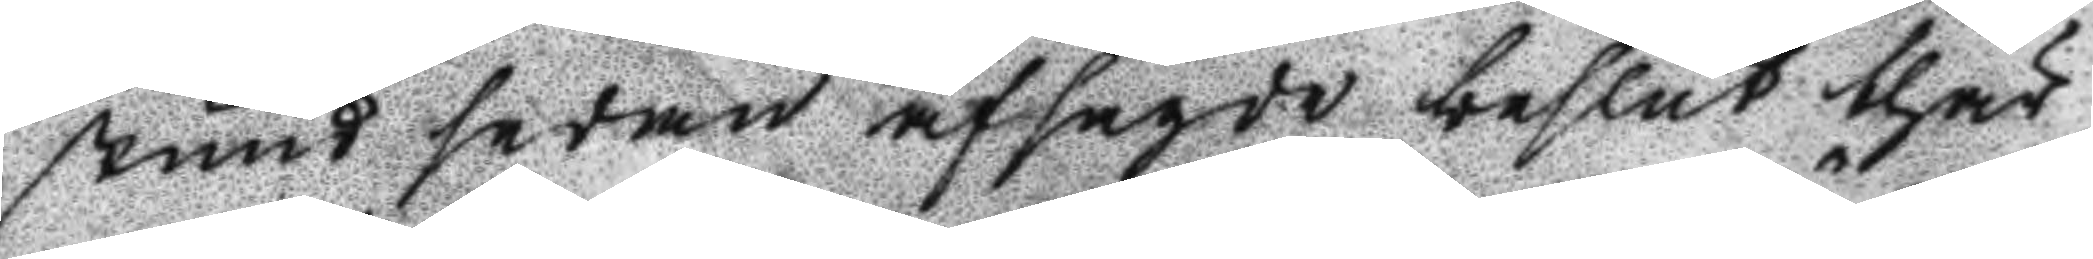stund sedan afsagde beslut thär
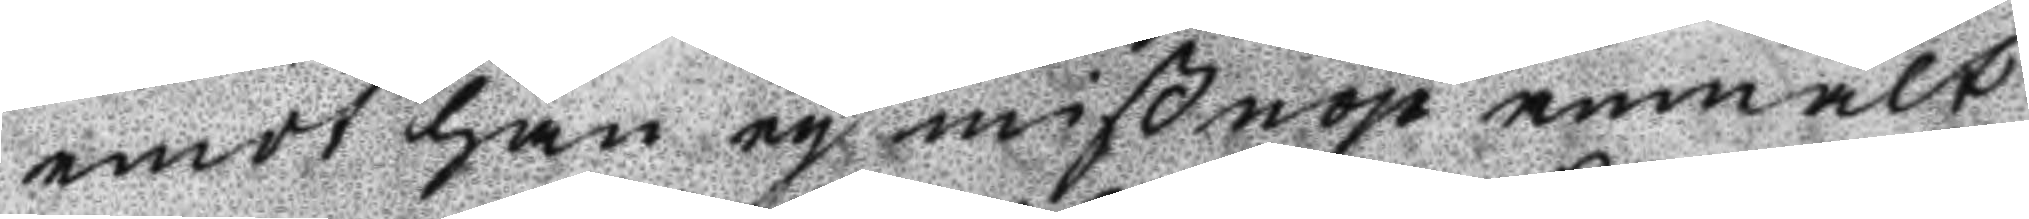emot han ey mißnöje anmält
